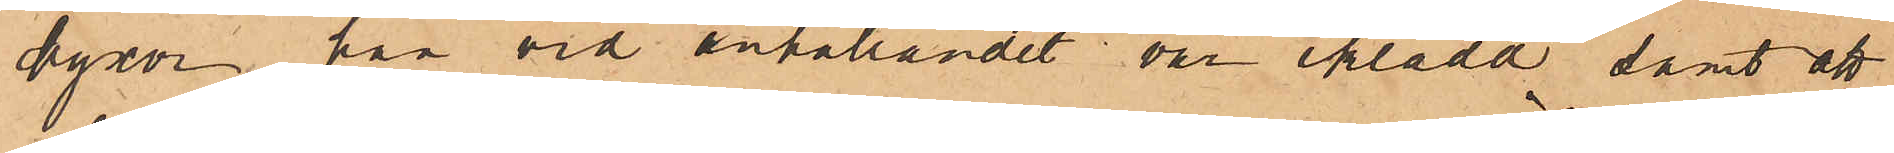byxor han  vid anhållandet var iklädd samt att
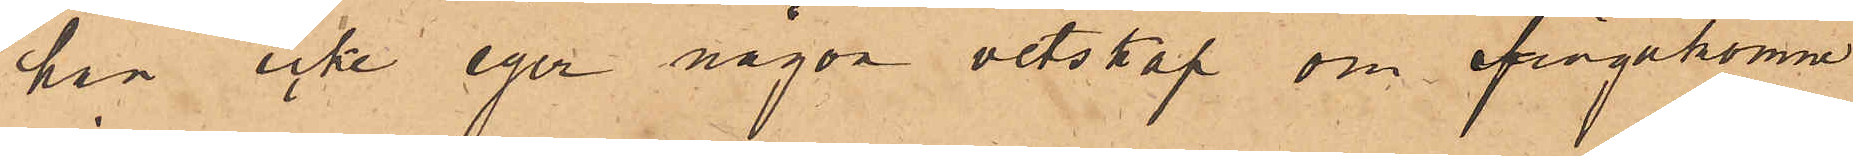han icke eger någon vetskap om ifrågakomne
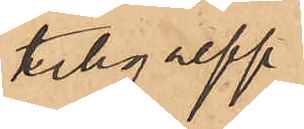tillgrepp.
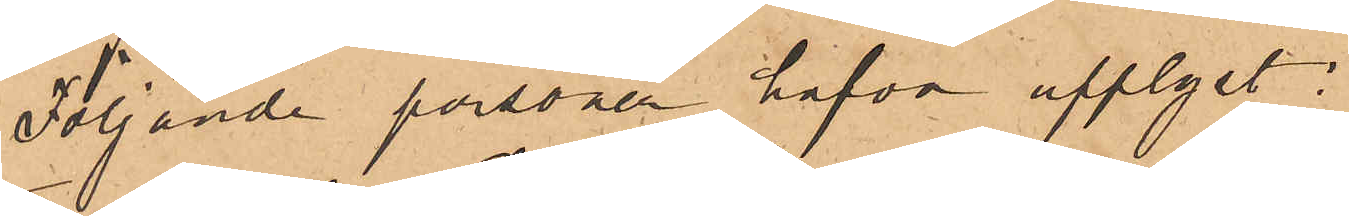Följande personer hafva upplyst:
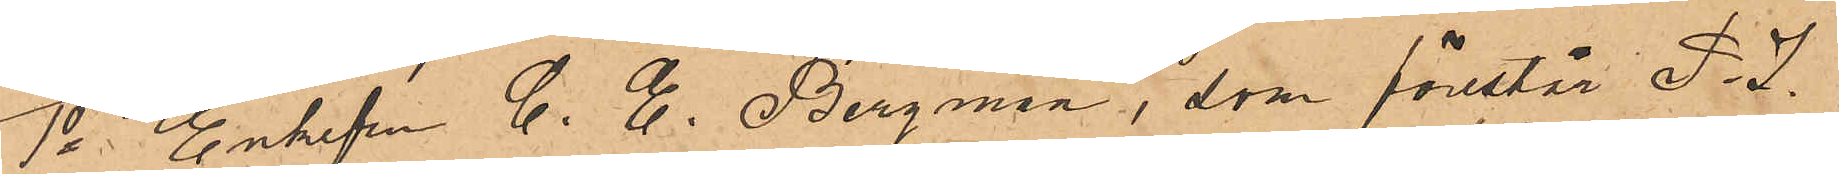1o Enkefru C. E. Bergman, som förestår P. J.
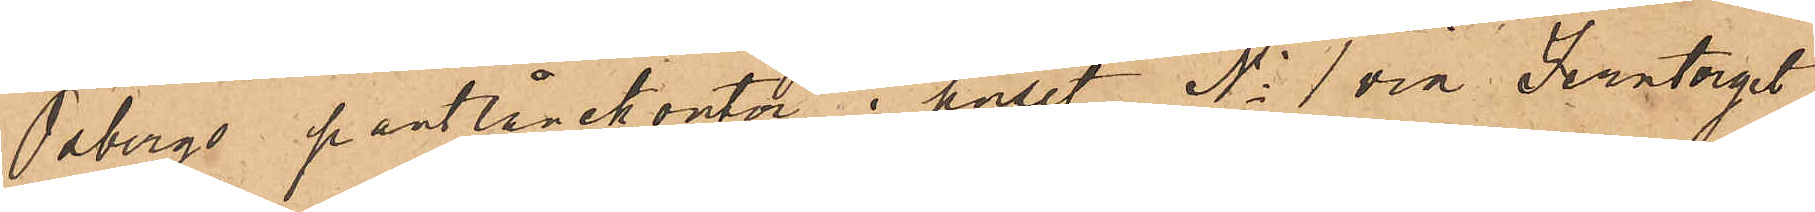Osbergs pantlånekontor i huset No 1 vid Jerntorget
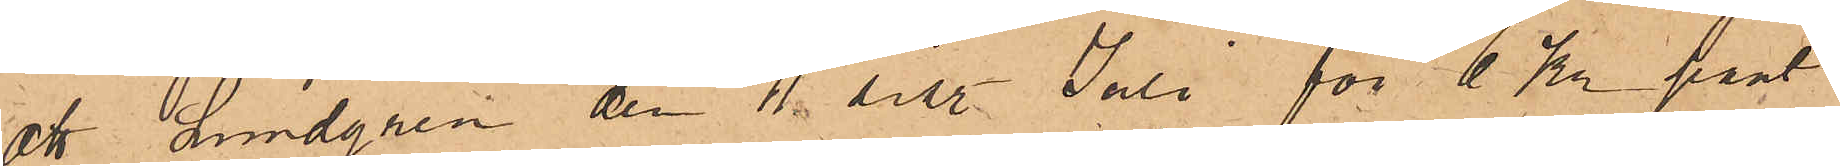att Lundgren den 11 sist. Juli för 1 Kr pant¬
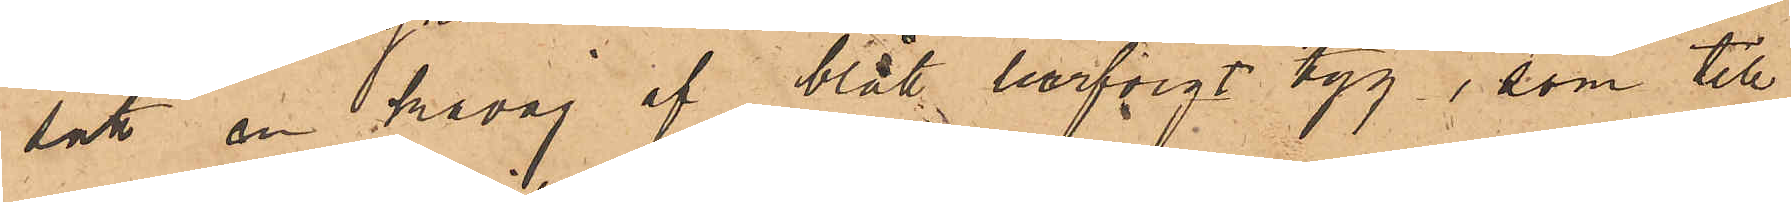satt en kavaj af blått lurfvigt tyg, som till
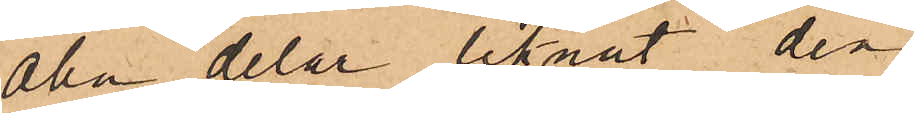alla delar liknat den
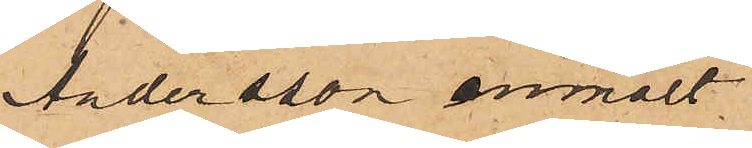Andersson anmält
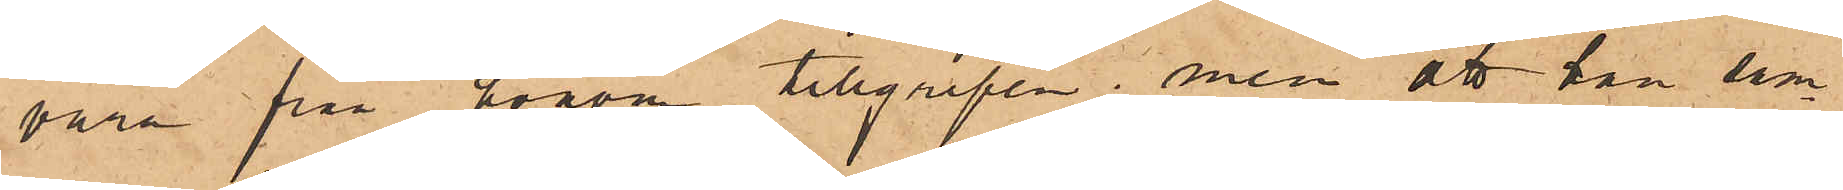vara från honom tillgripen, men att han sam¬
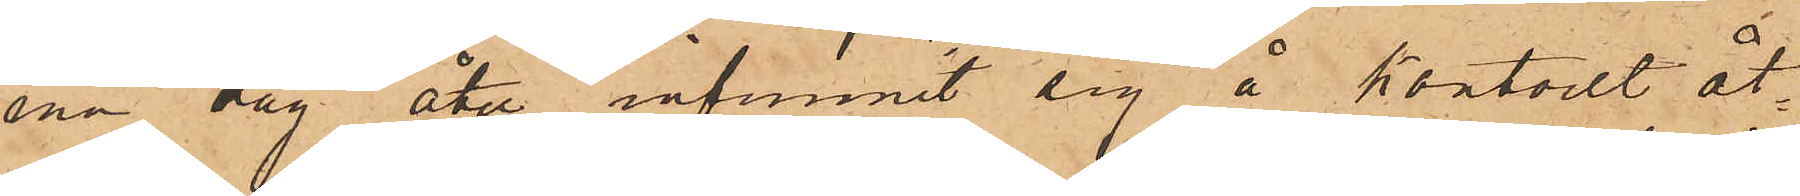ma dag åter infunnit sig å kontoret åt¬
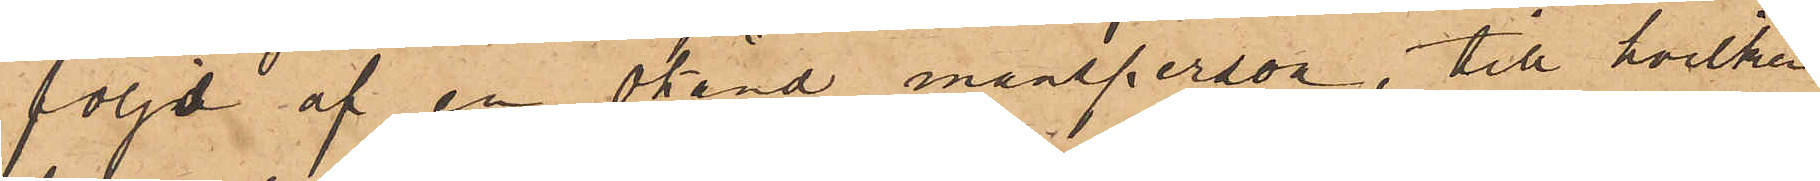följd af en okänd mansperson, till hvilken
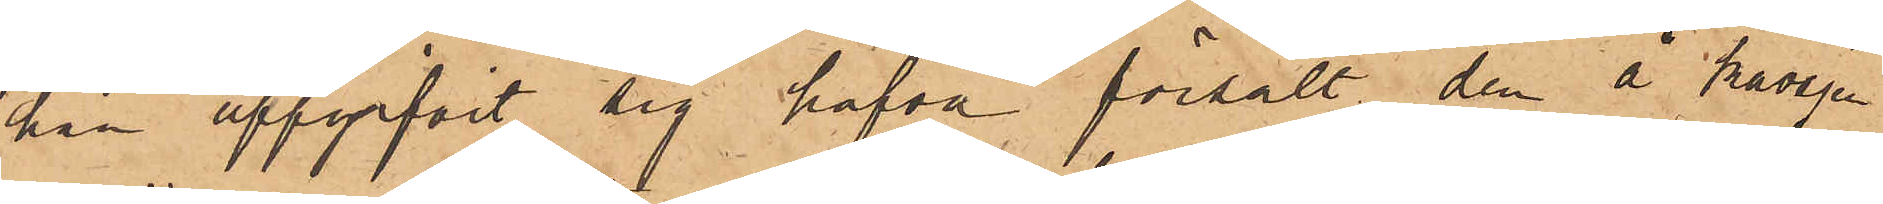han uppgifvit sig hafva försålt den å kavajen
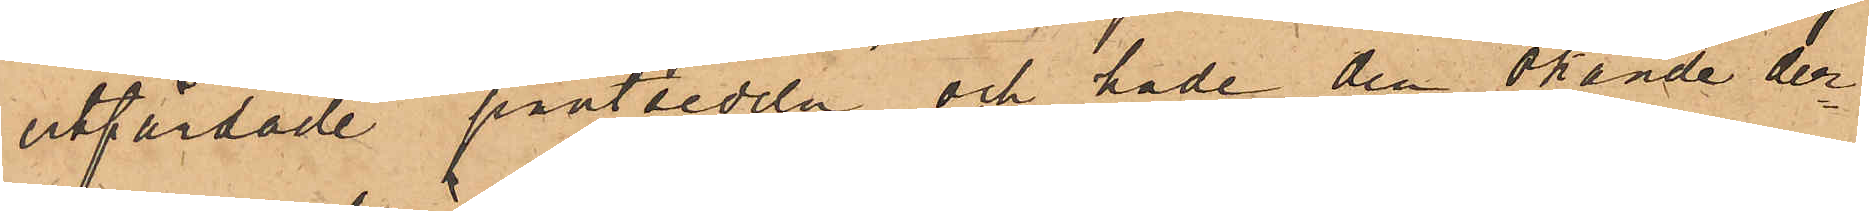utfärdade pantsedeln och hade den okände der¬
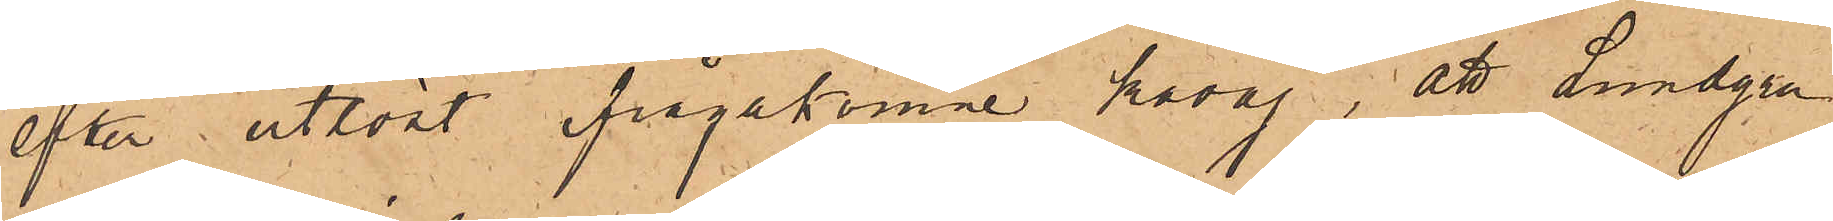efter utlöst ifrågakomne kavaj; att Lundgen
